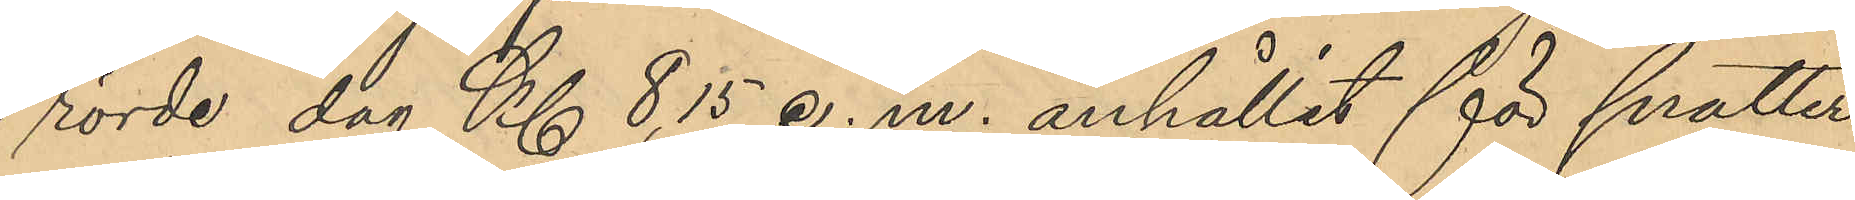rörde dag Kl 8,15 e. m. anhållit för snatteri
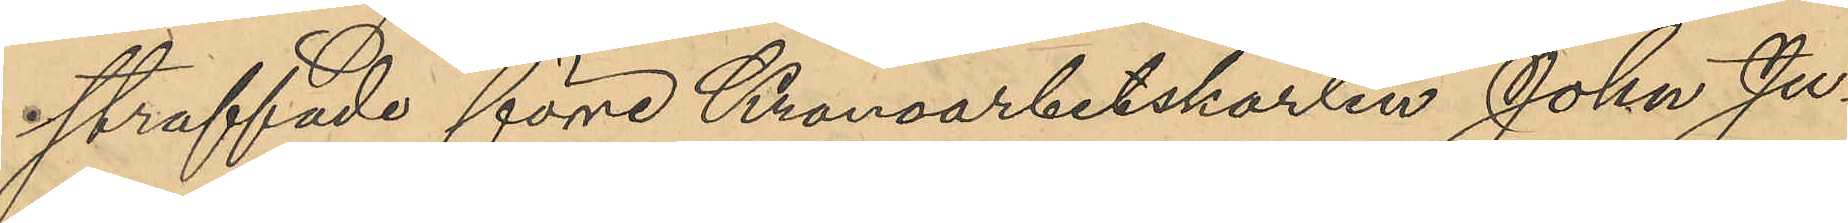straffade förre Kronoarbetskarlen Johan Ju¬
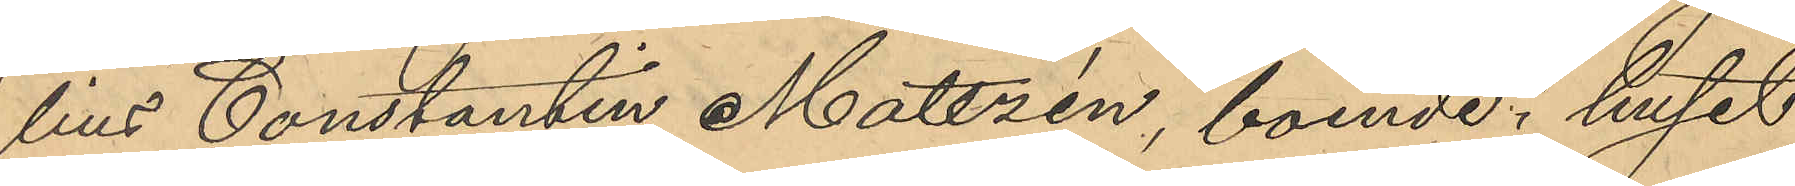lius Constantin Mattzén, boende i huset
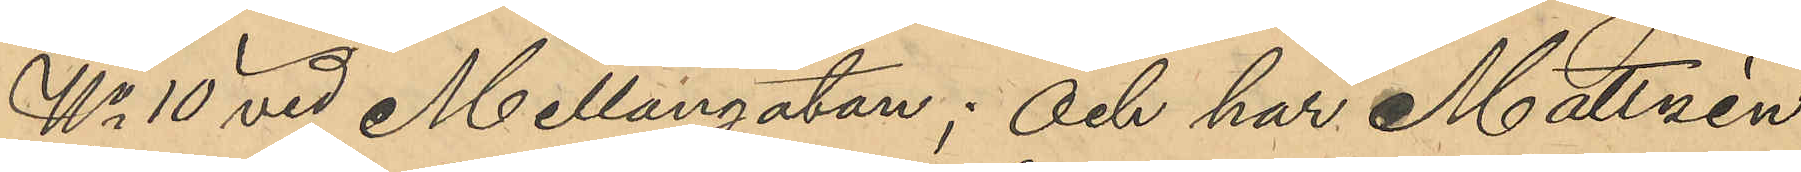No 10 vid Mellangatan; och har Mattzén
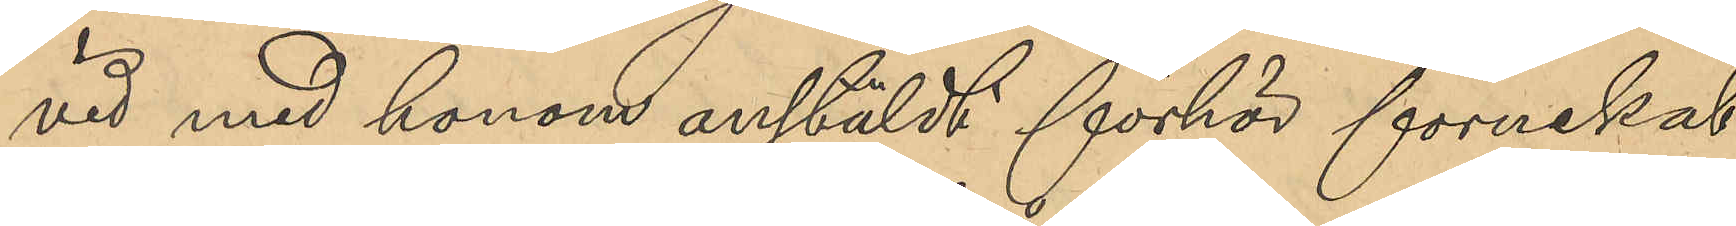vid med honom anstäldt förhör förnekat
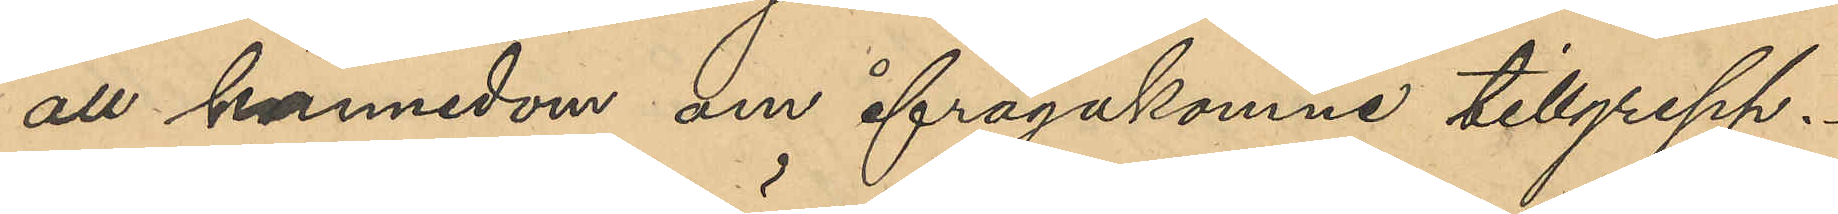all kännedom om ifrågakomne tillgrepp.
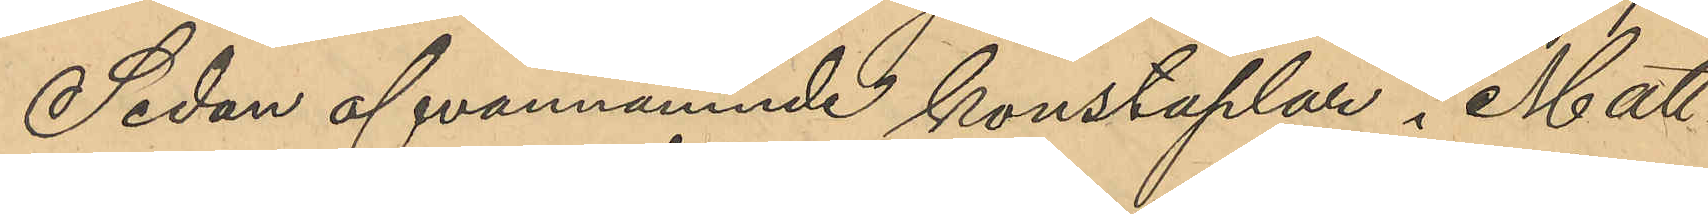Sedan ofvannämnde konstaplar i Matt¬
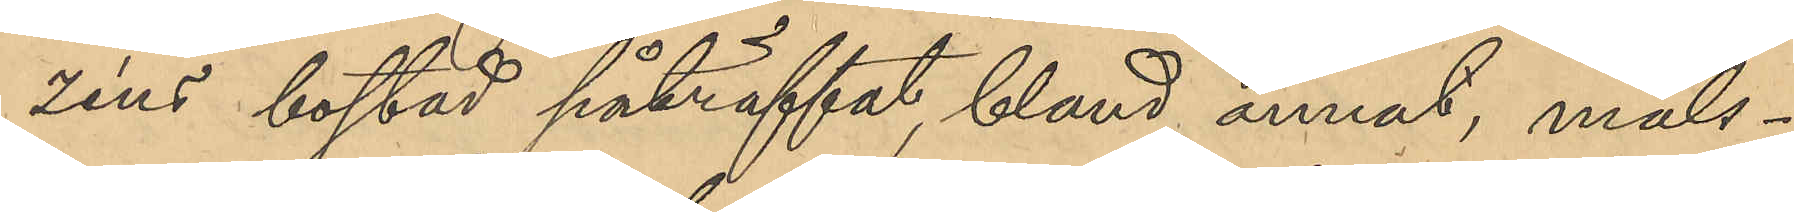zéns bostad påträffat, bland annat, måls¬
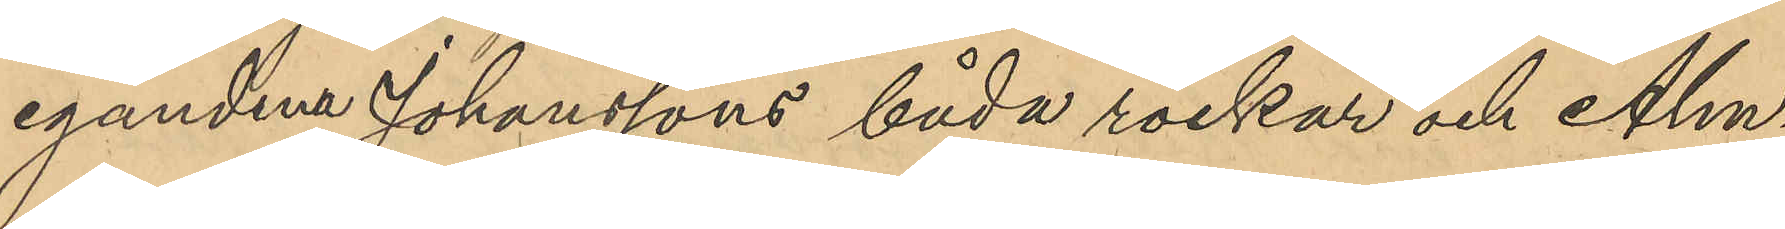egandena Johanssons båda rockar och Alm¬
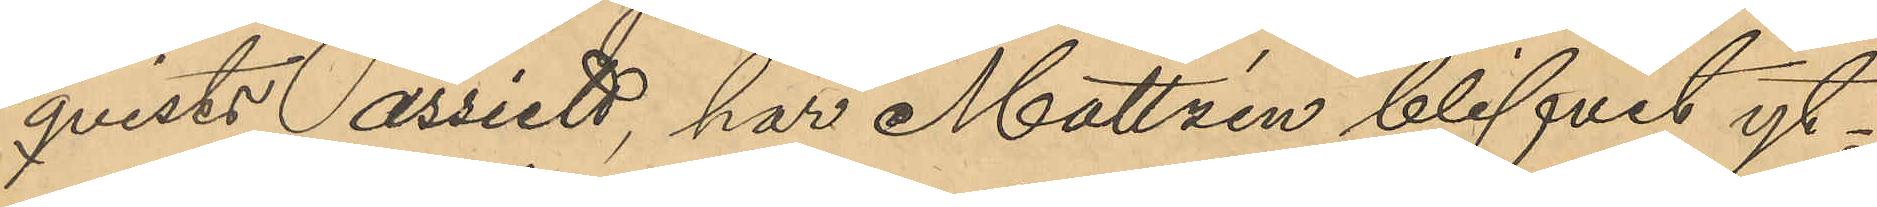qvists assiett, har Mattzén blifvit yt¬
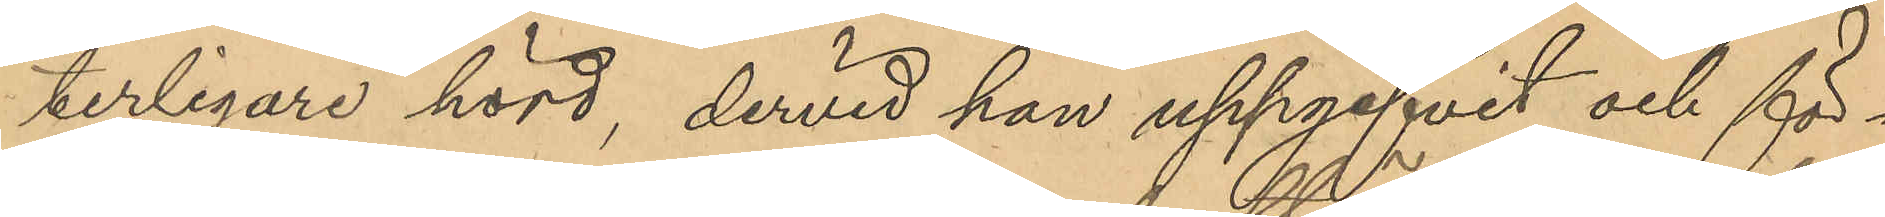terligare hörd, dervid han uppgifvit och för¬
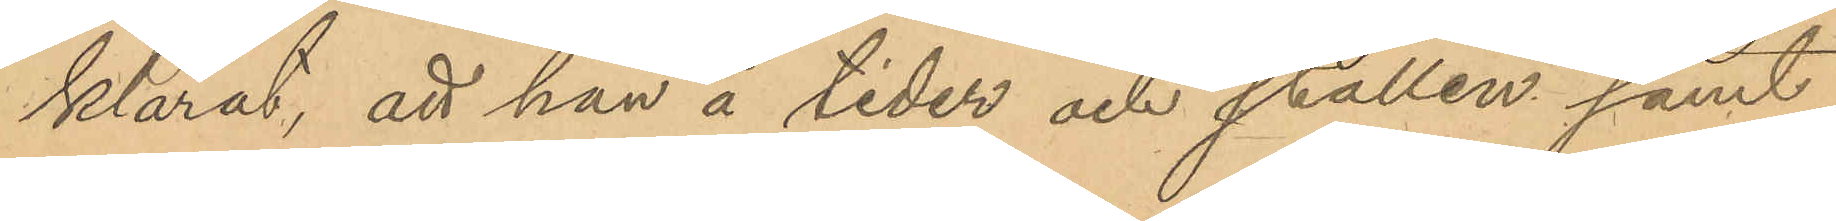klarat att han å tider och ställen samt,
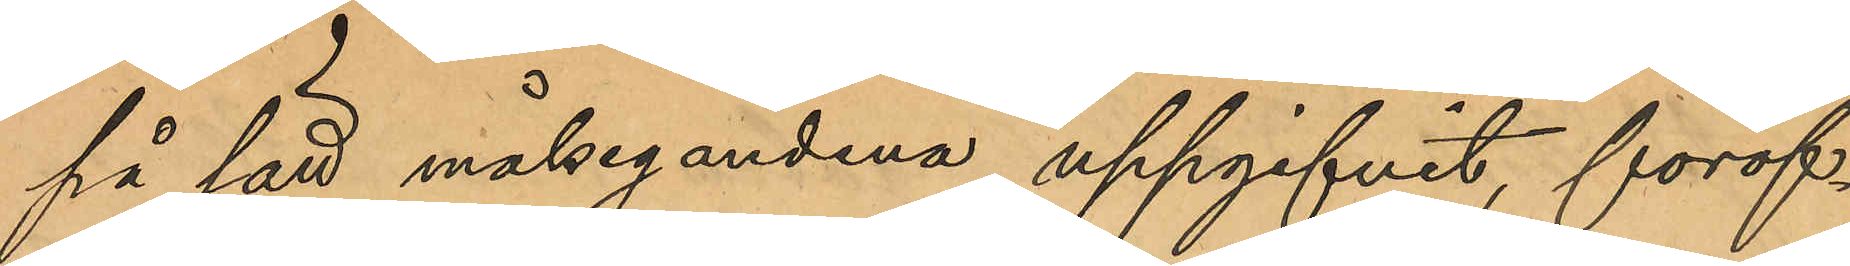på sätt målsegandena uppgifivit, föröf¬
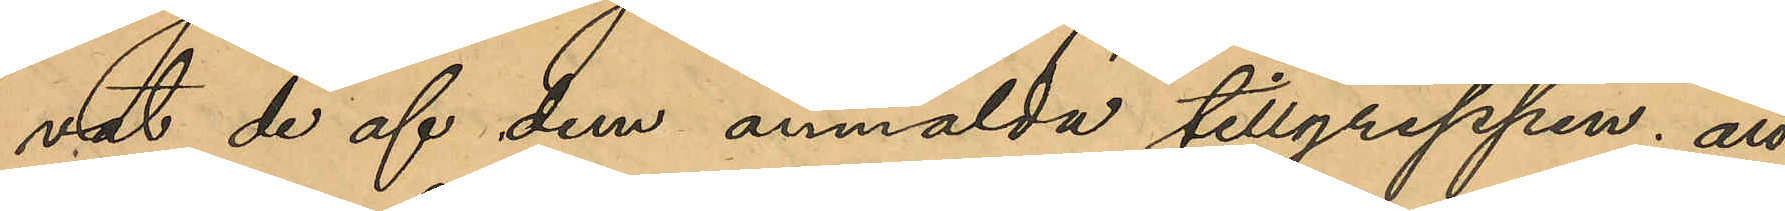vat de af dem anmälda tillgreppen; att
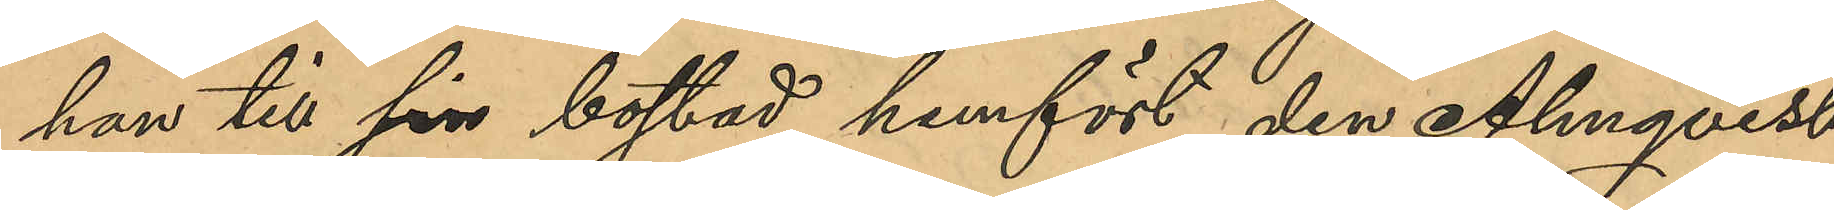han till sin bostad hemfört den Almqvist
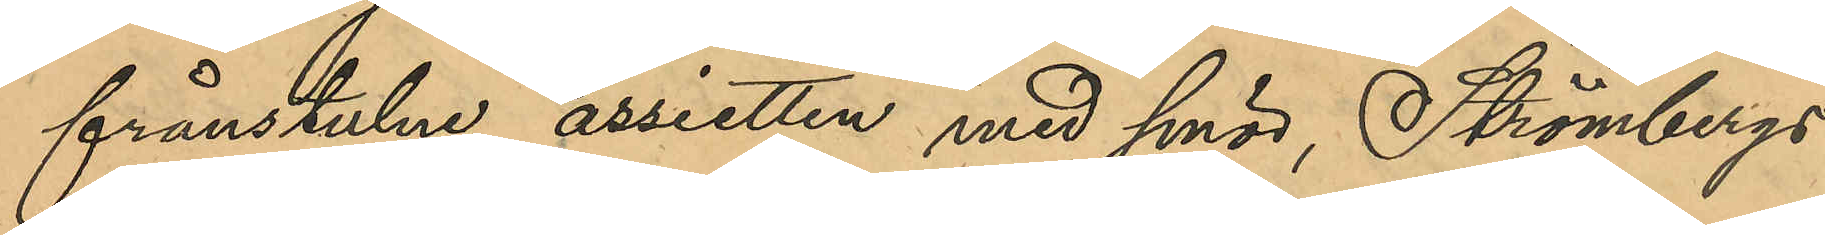frånstulne assietten med smör, Strömbergs
